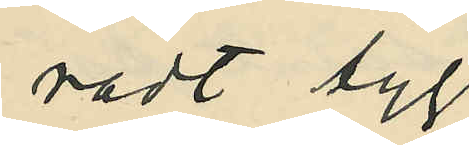radt tyg
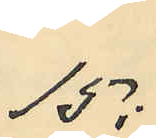15:
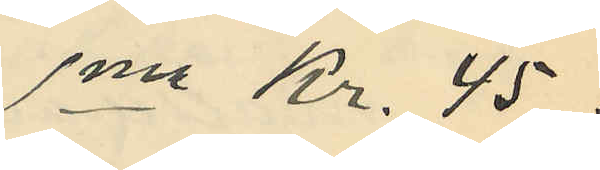Sma Kr. 45.
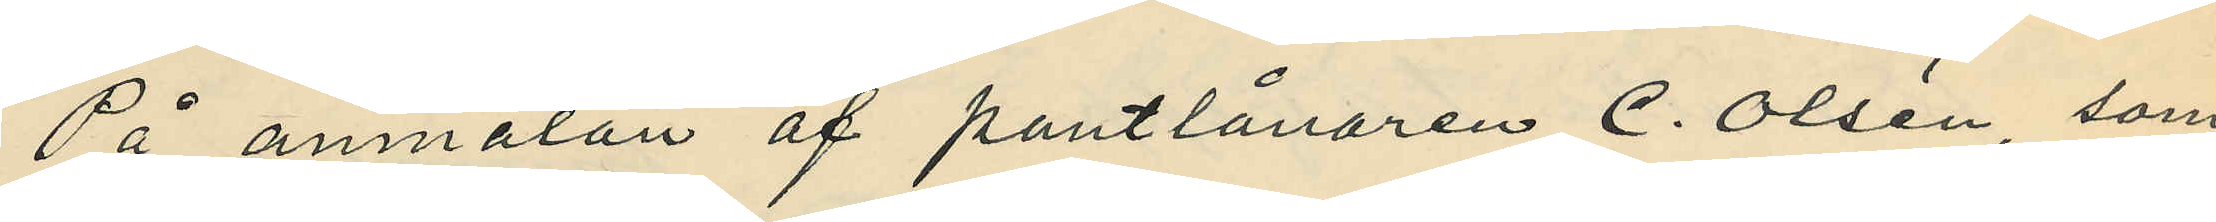På anmälan af pantlånaren C. Olsén, som
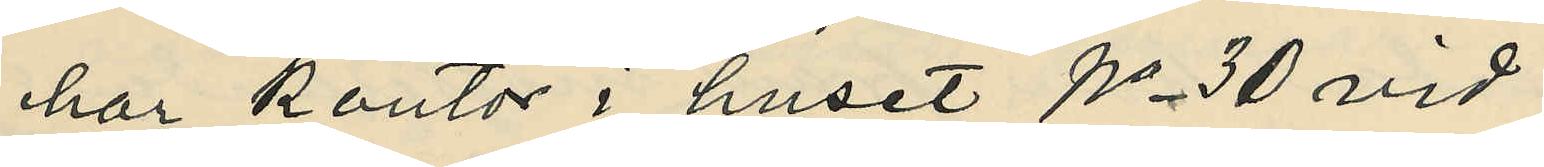har kontor i huset No 30 vid
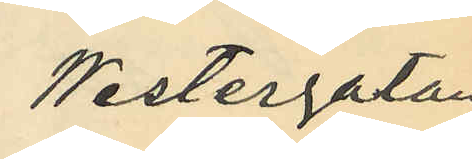Westergatan
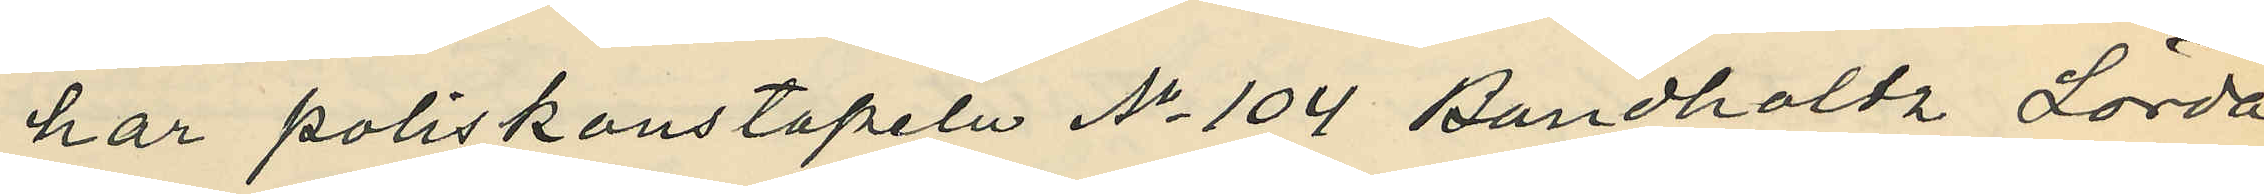har poliskonstapeln No 104 Bandholdz Lörda¬
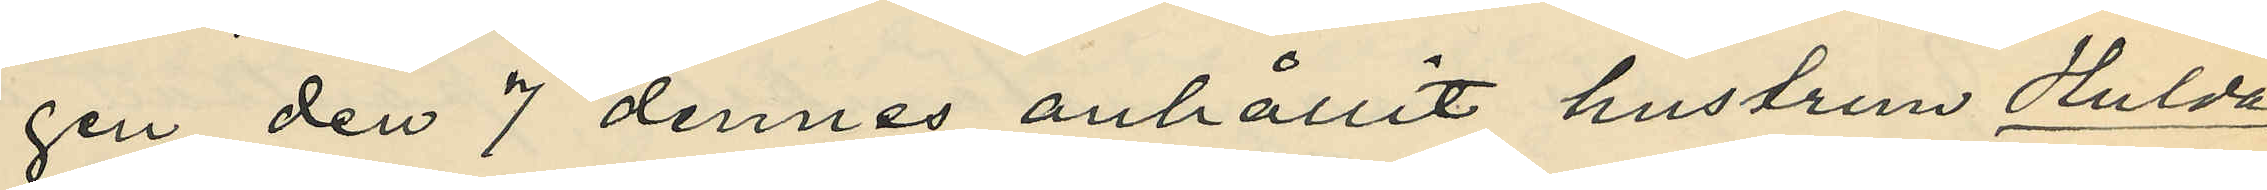gen den 7 dennes anhållit hustrun Hulda
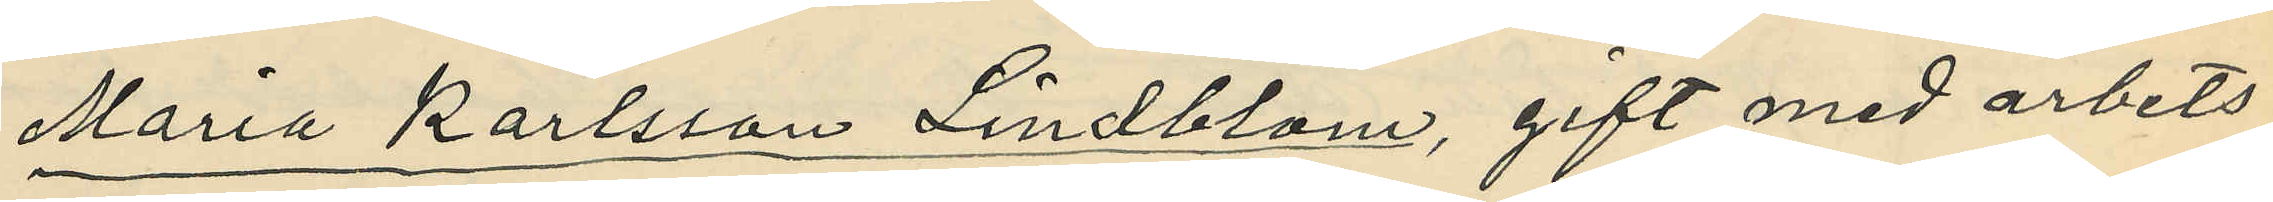Maria Karlsson Lindblom, gift med arbets¬
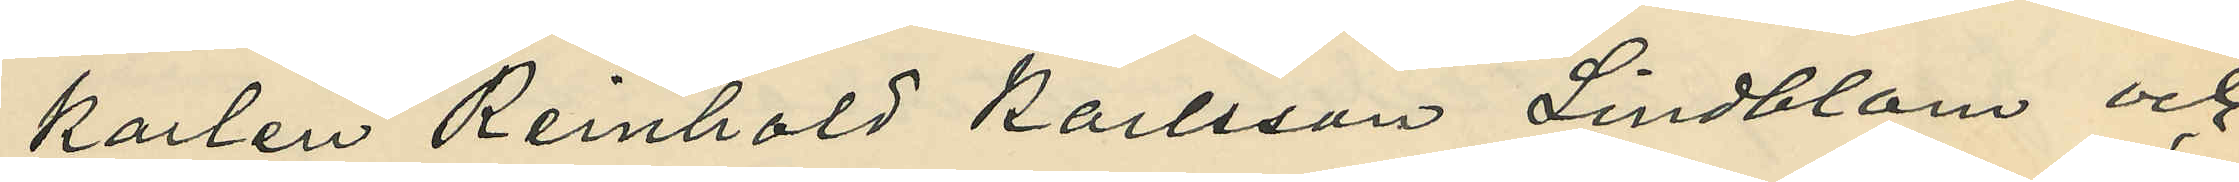karlen Reinhold Karlsson Lindblom och
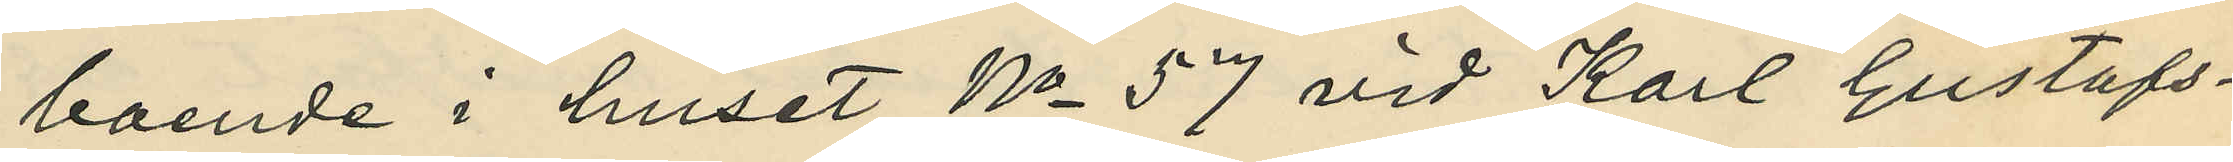boende i huset No 57 vid Karl Gustafs¬
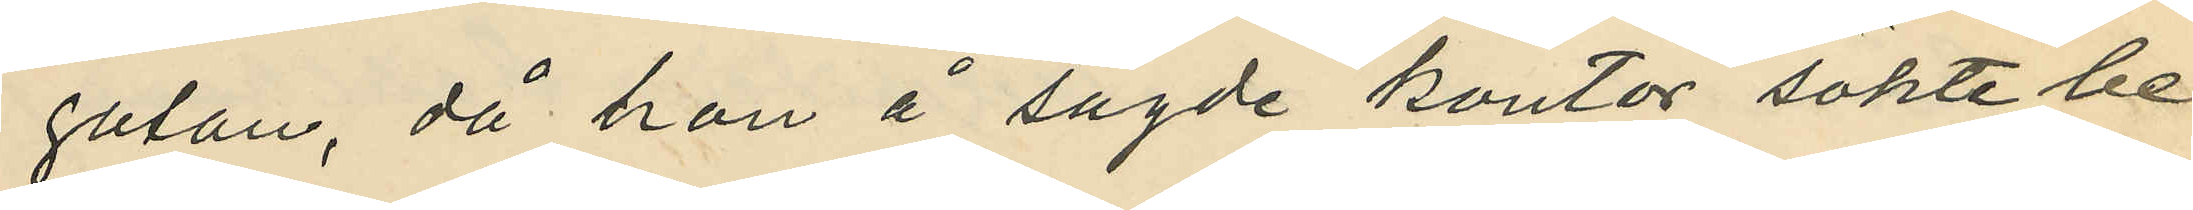gatan, då hon å sagde kontor sökte be¬
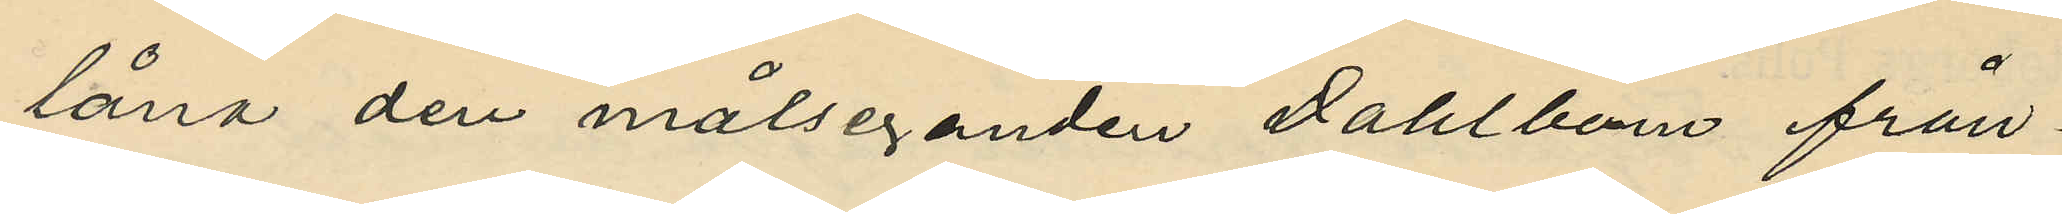låna den målseganden Dahlbern från¬
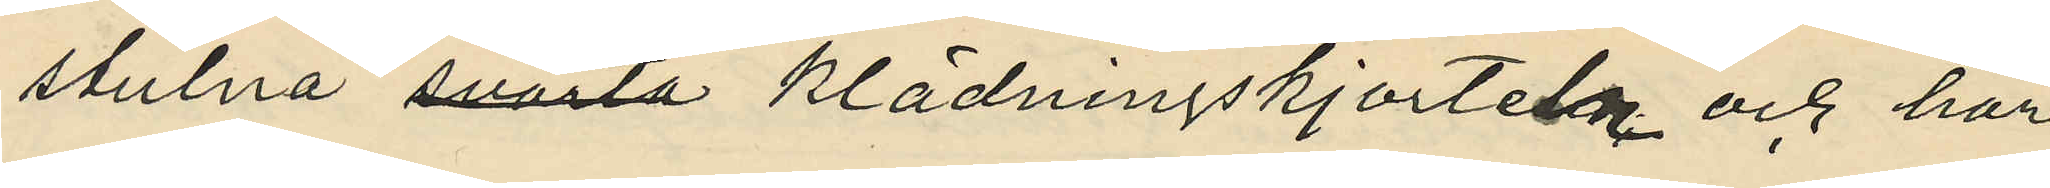stulna svarta klädningskjortel och har
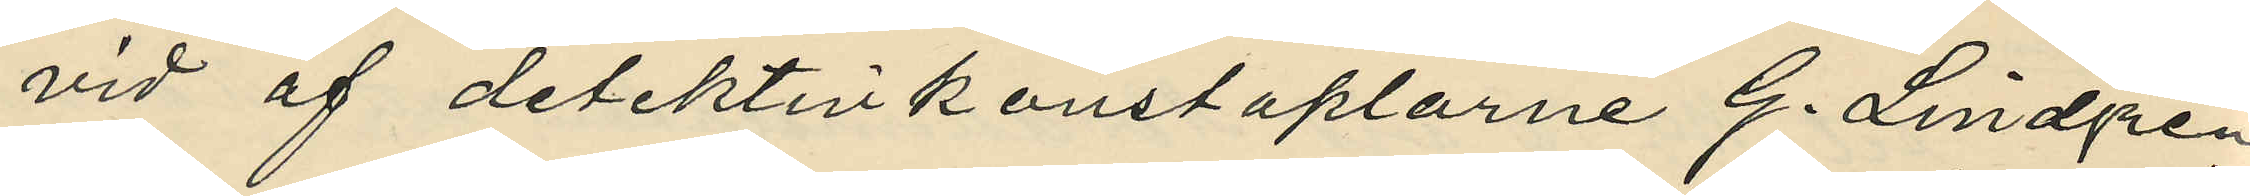vid af detektivkonstaplarne G. Lindgren
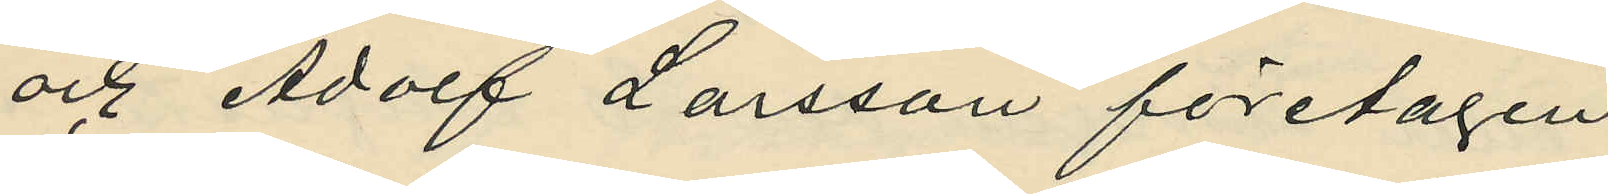och Adolf Larsson företagen
